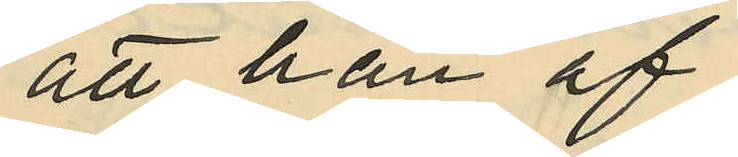att han af
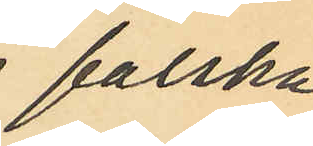falska
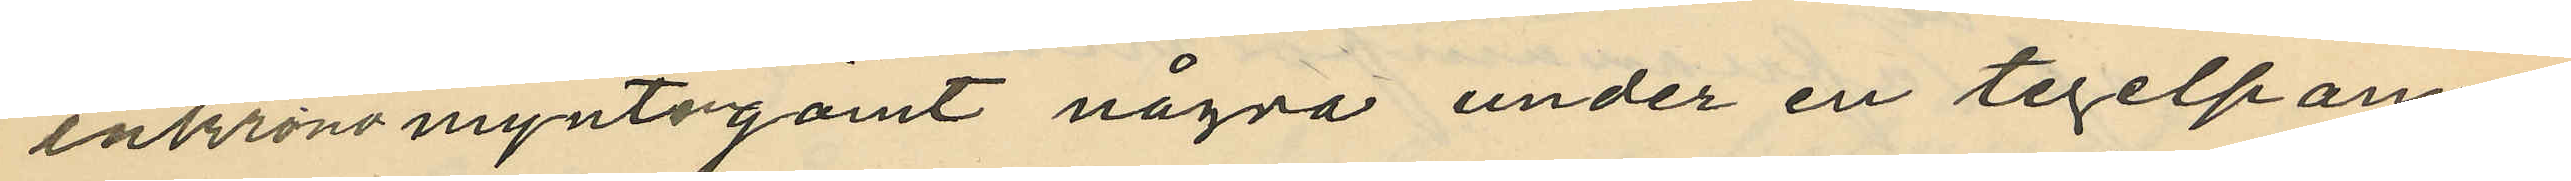enkronomynten gömt några under en tegelpanna
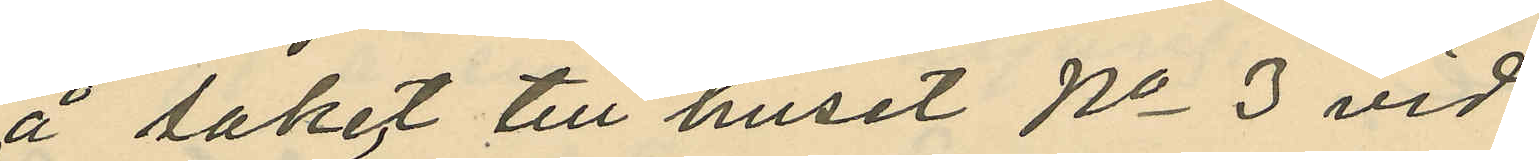å taket till huset No 3 vid
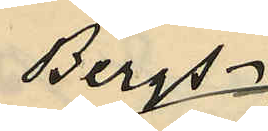Bergs¬
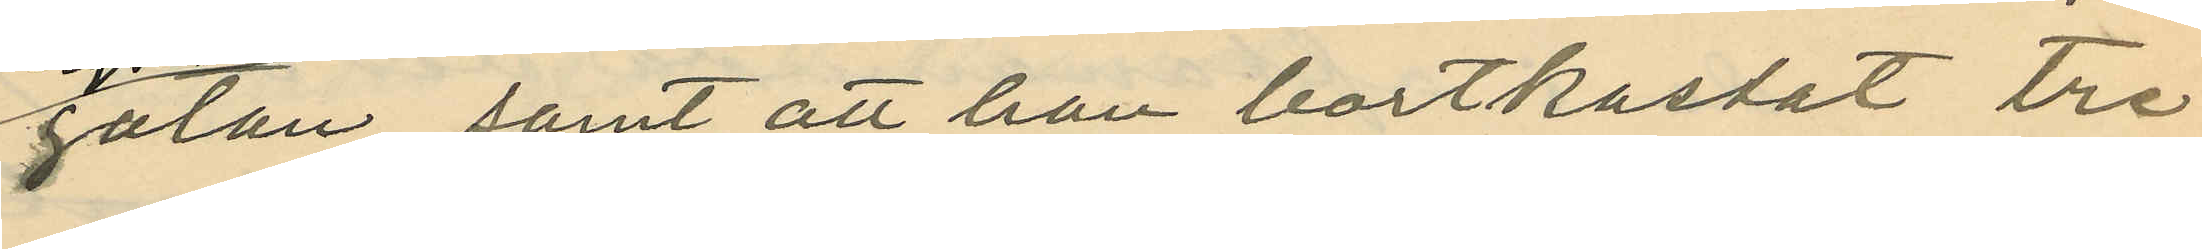gatan, samt att han bortkastat tre
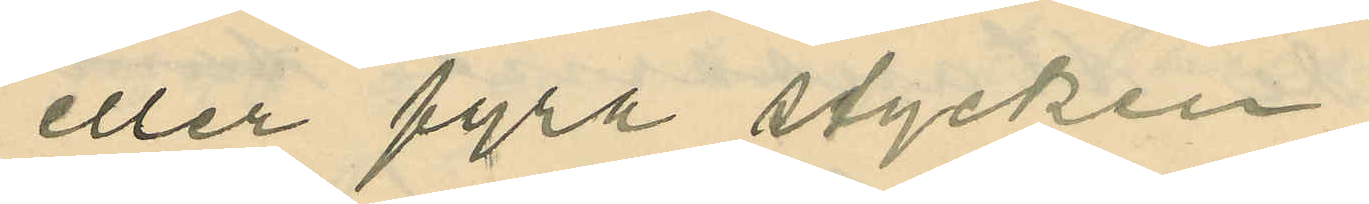eller fyra stycken;
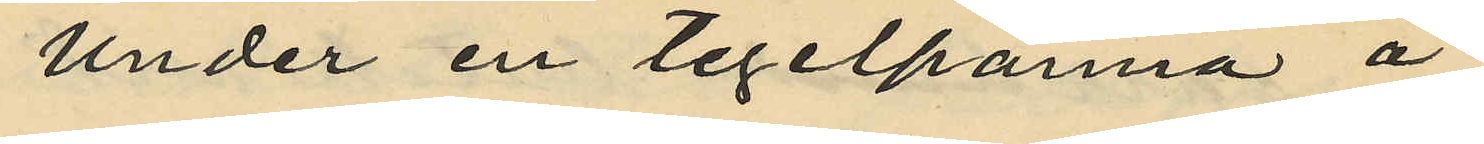Under en tegelpanna å
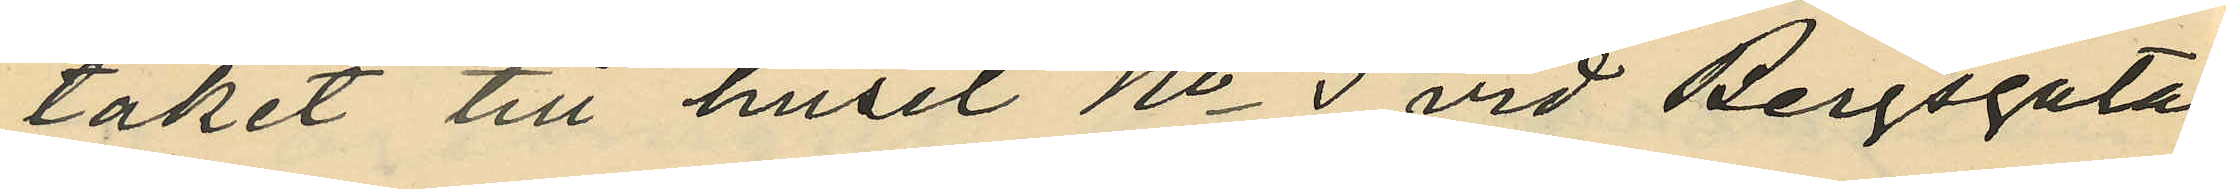taket till huset No 3 vid Bergsgatan
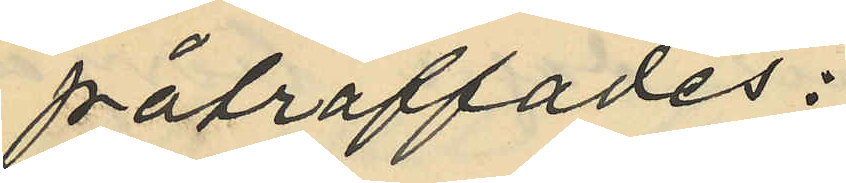påträffades:
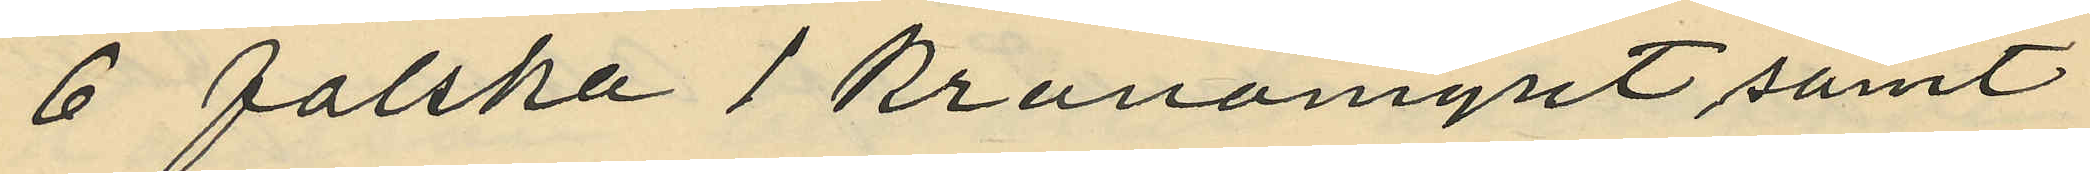6 falska 1 kronomynt samt
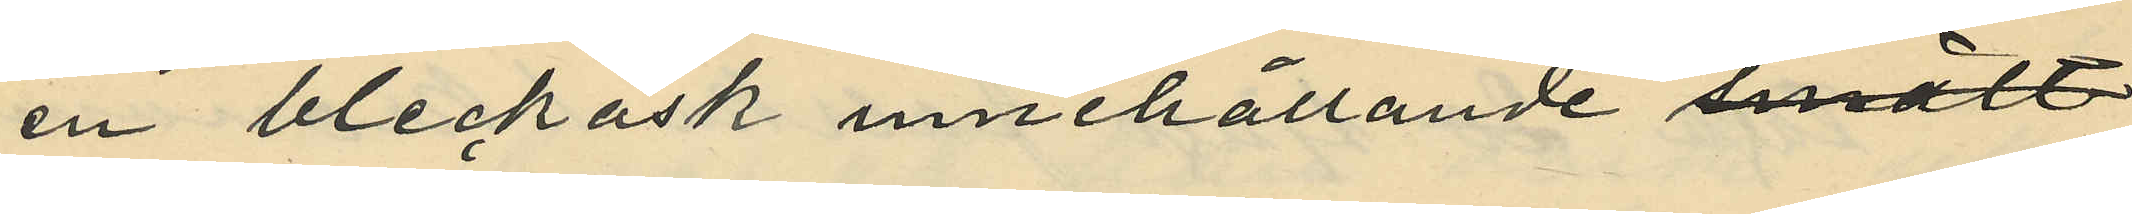en bleckask innehållande 
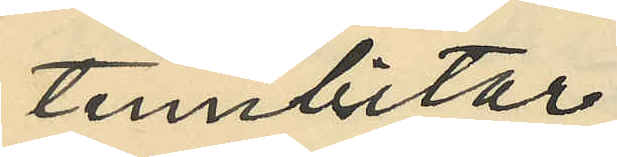tennbitar.
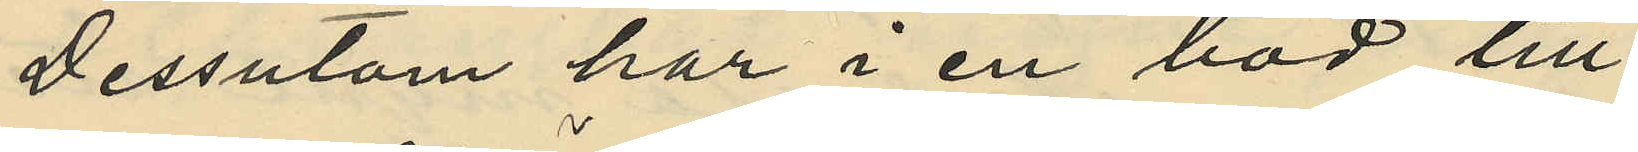Dessutom har i en bod till
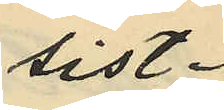sist¬
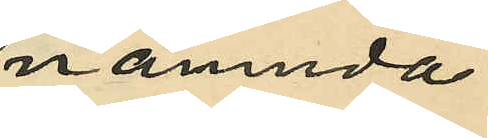nämnda
